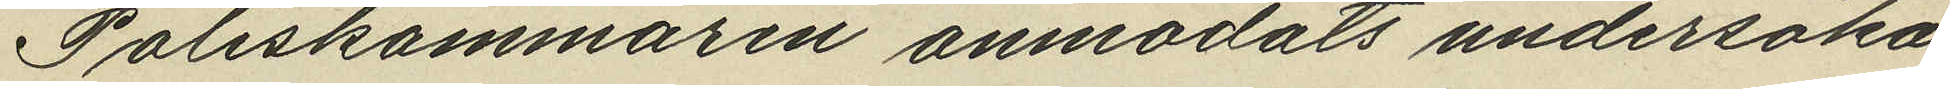Poliskammaren anmodats undersöka
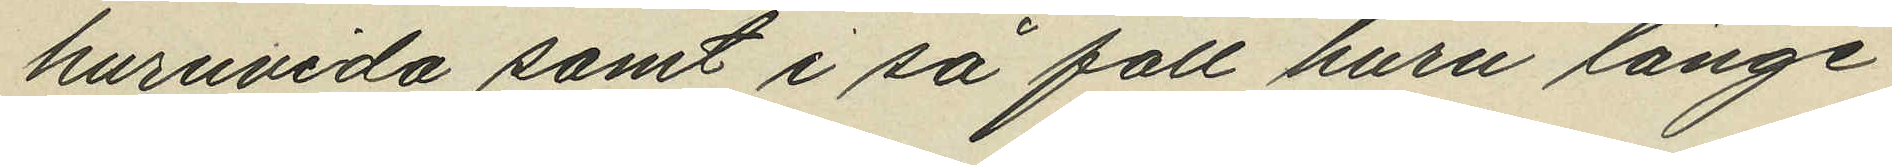huruvida samt i så fall huru länge
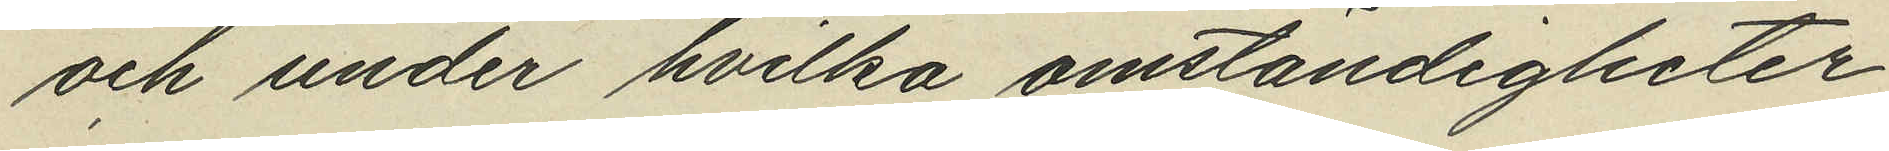och under hvilka omständigheter
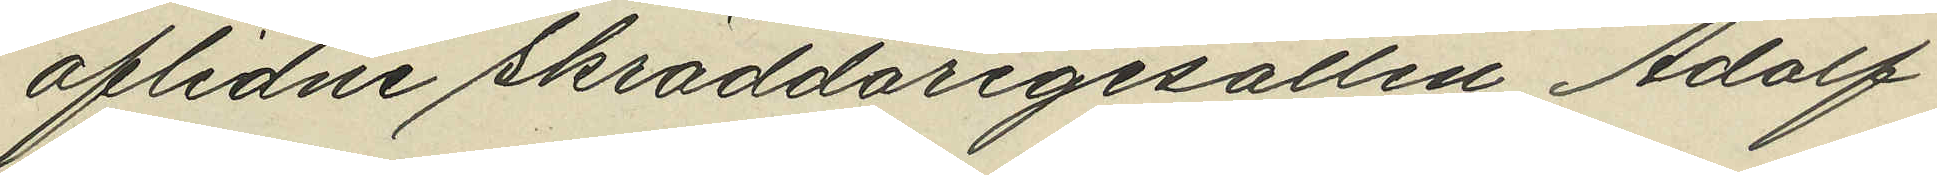aflidne skräddaregesällen Adolf
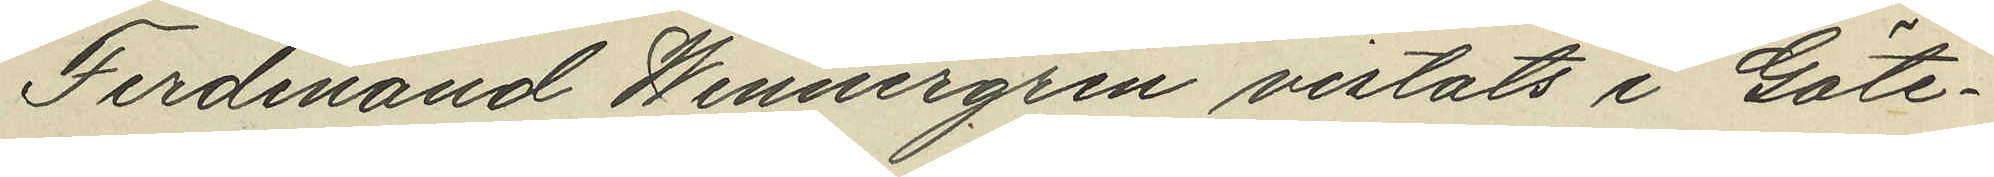Ferdinand Wennergren vistats i Göte¬
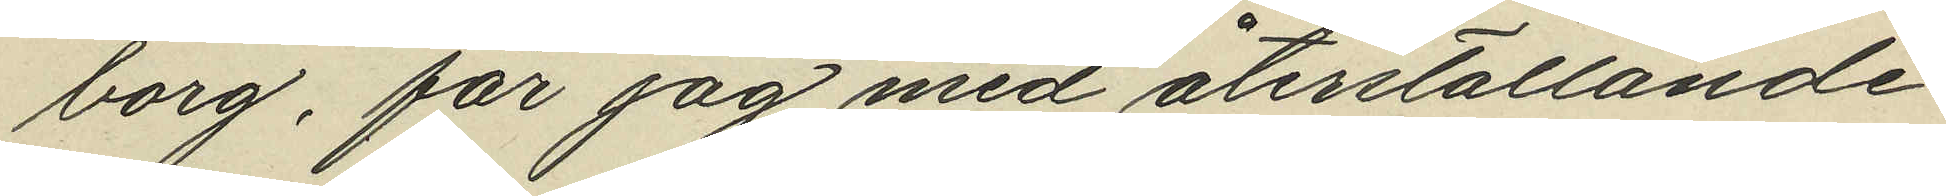borg, får jag med återställande
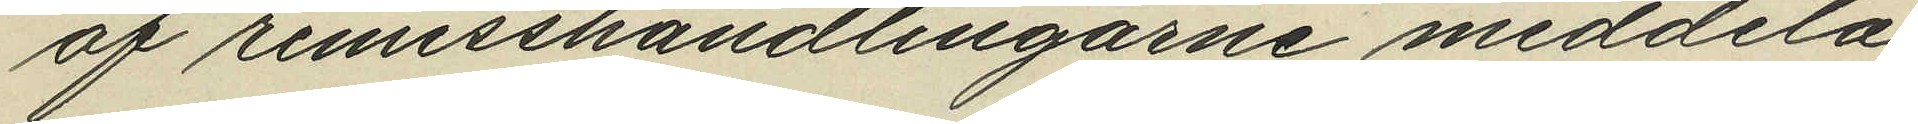af remisshandlingarne meddela
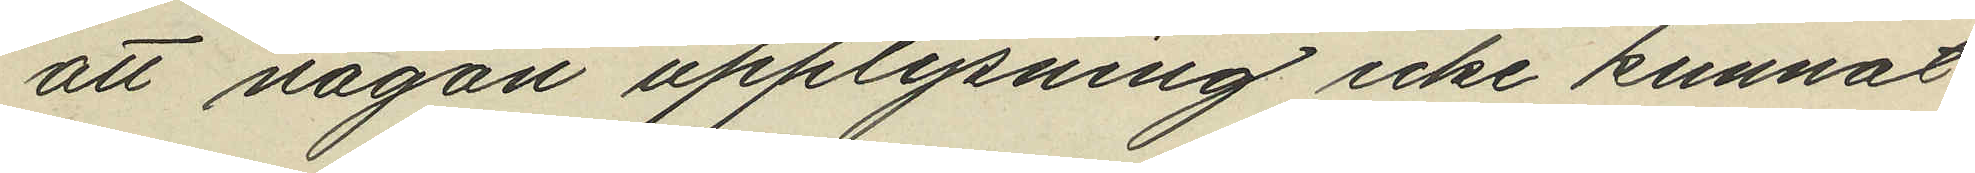att någon upplysning icke kunnat
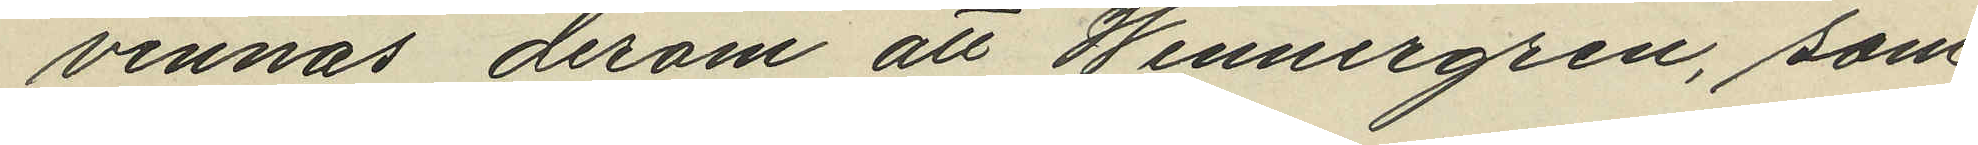vinnas derom att Wennergren, som
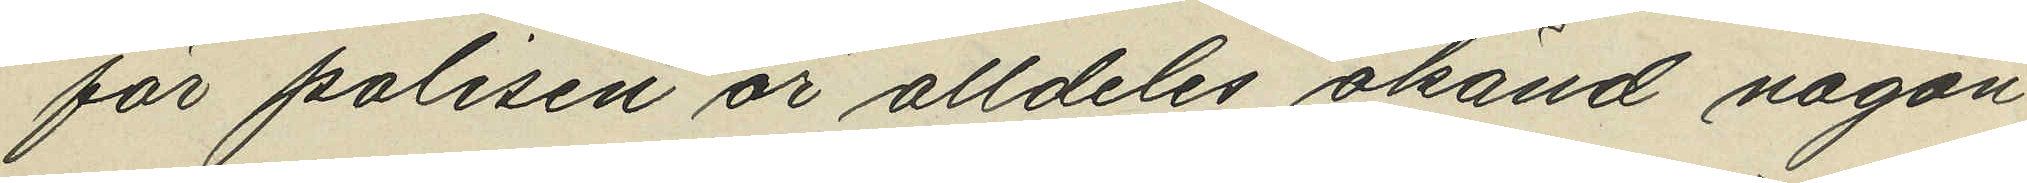för polisen är alldeles okänd någon¬
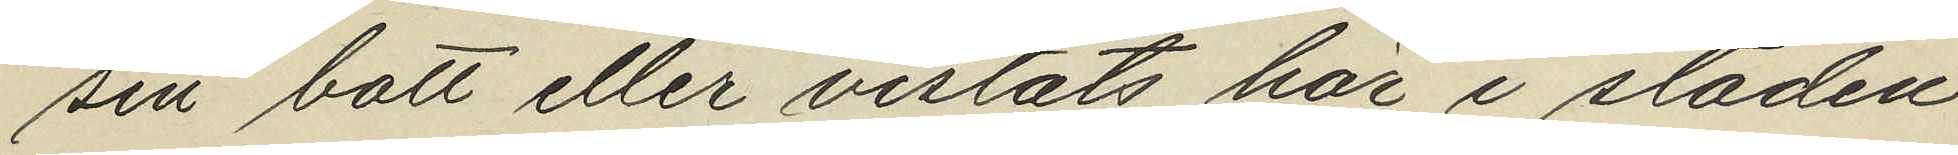sin bott eller vistats här i staden
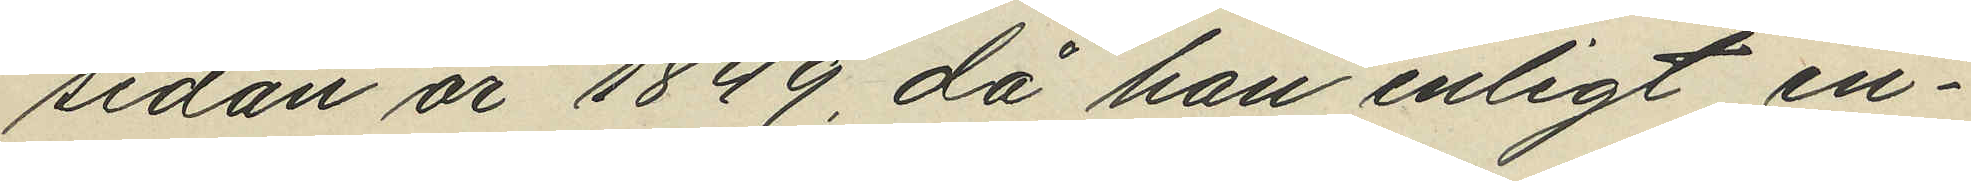sedan år 1849, då han enligt in¬
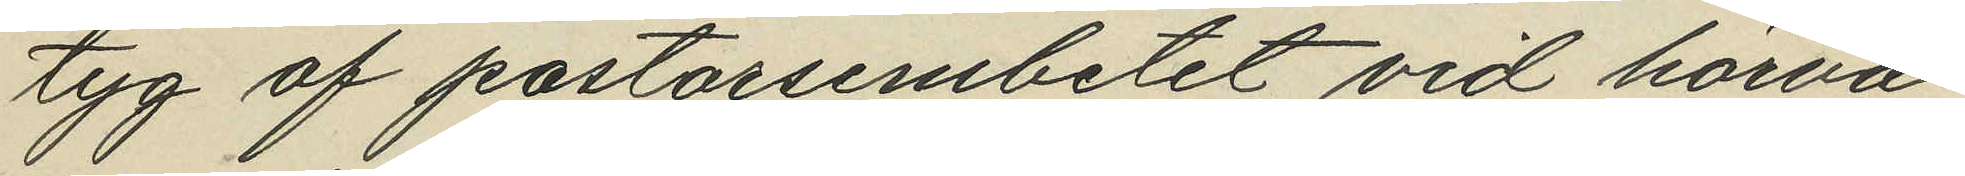tyg af pastorsembetet vid härva¬
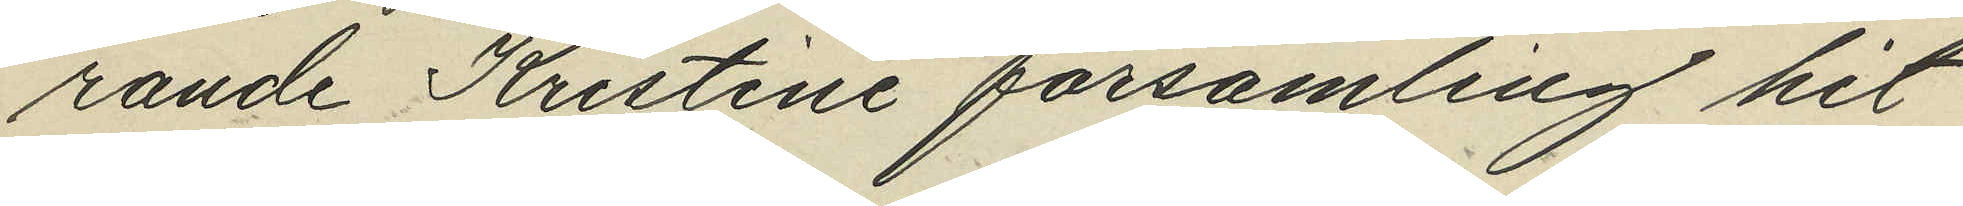rande Kristine församling hit
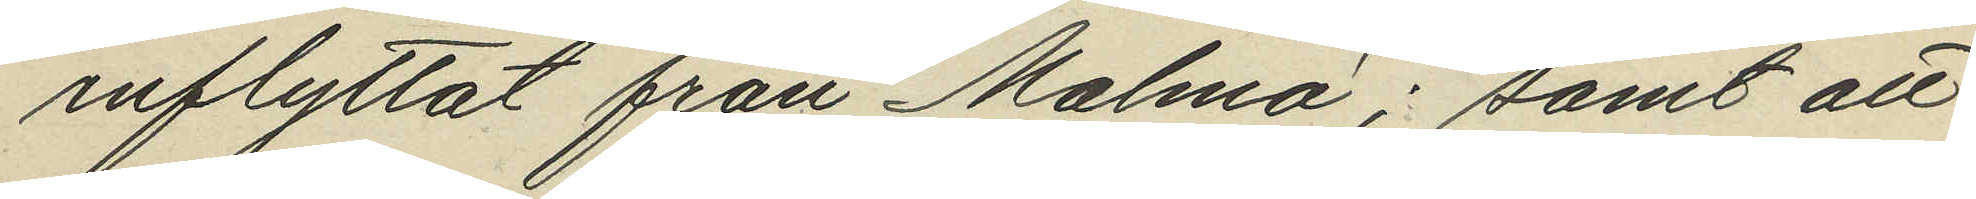inflyttat från Malmö; samt att
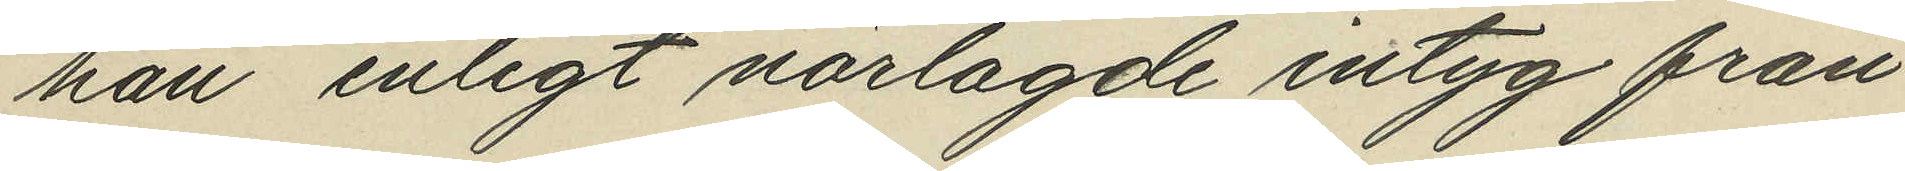han enligt närlagde intyg från
